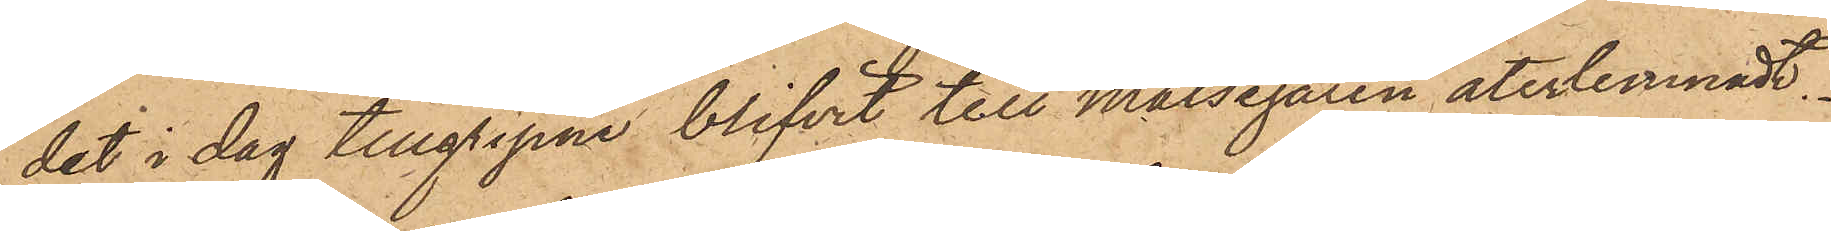det i dag tillgripne blifvit till Målsegaren återlemnadt.
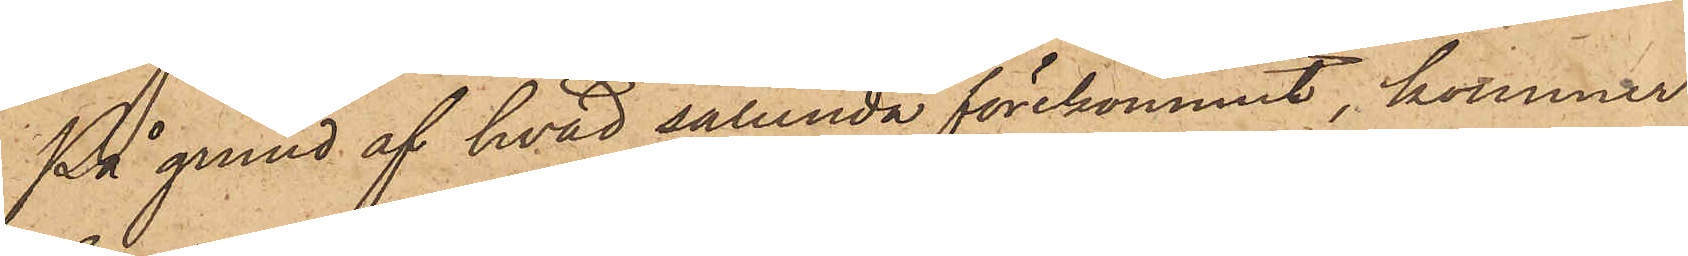På grund af hvad sålunda förekommit, kommer
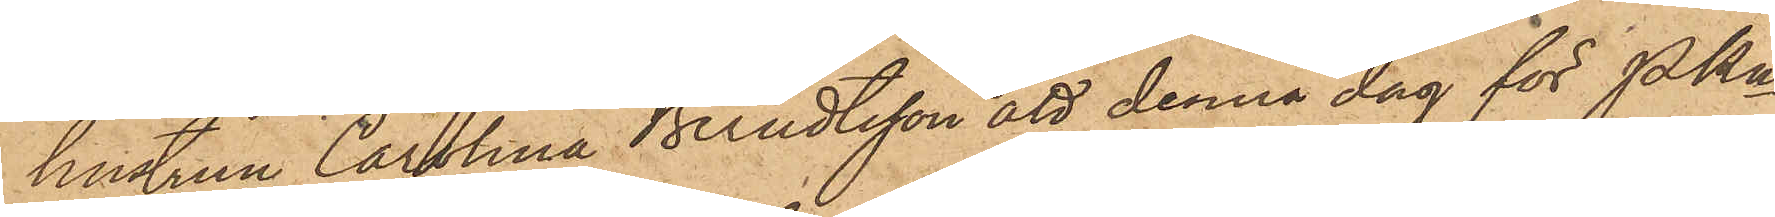hustrun Carolina Berndtsson att denna dag för Pkn
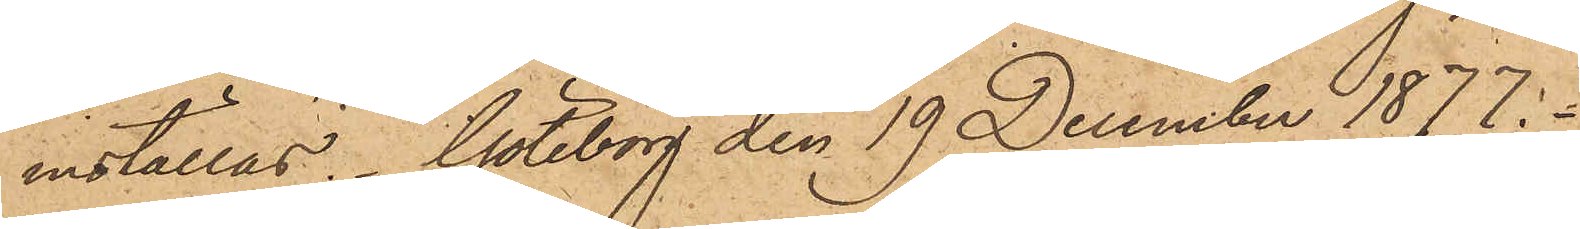inställas. Göteborg den 19 December 1877.
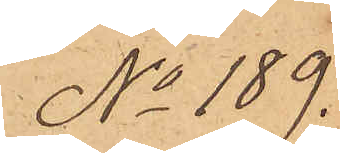No 189.
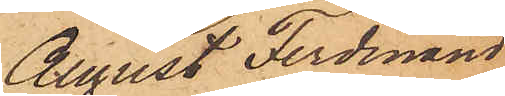August Ferdinand
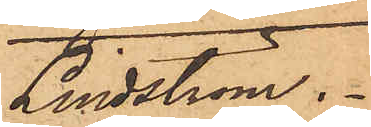Lindström.
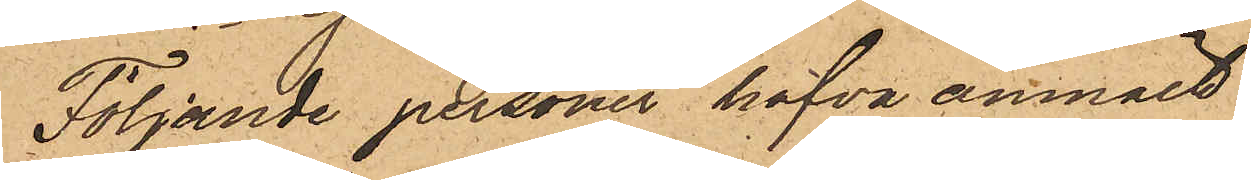Följande personer hafva anmält:
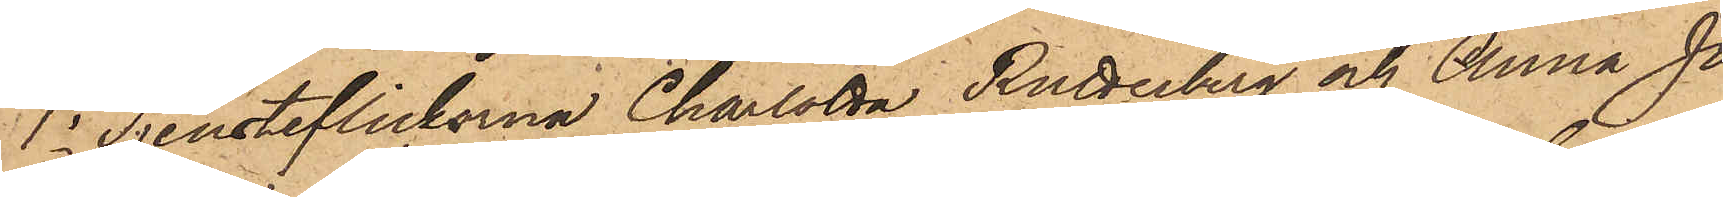1o Tjensteflickorna Charlotta Rutterberg och Anna Jo¬
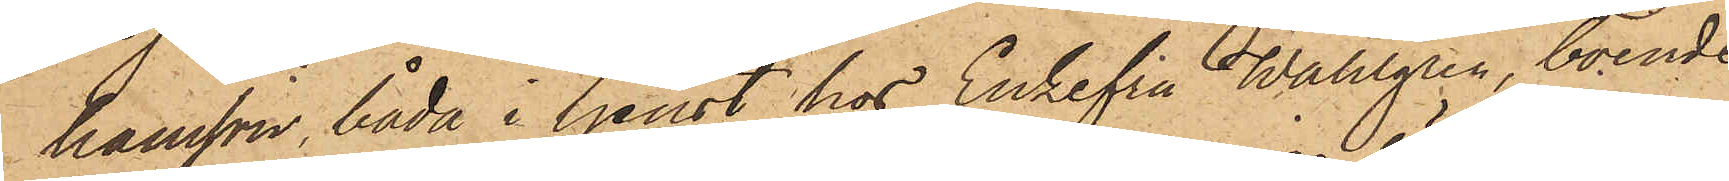hansson, båda i tjenst hos Enkefru Wahlgren, boende
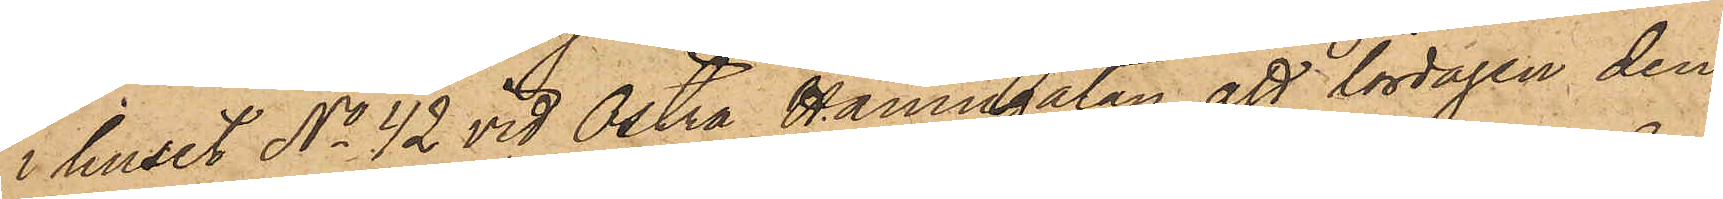i huset No 42 vid Östra Hamngatan, att lördagen den
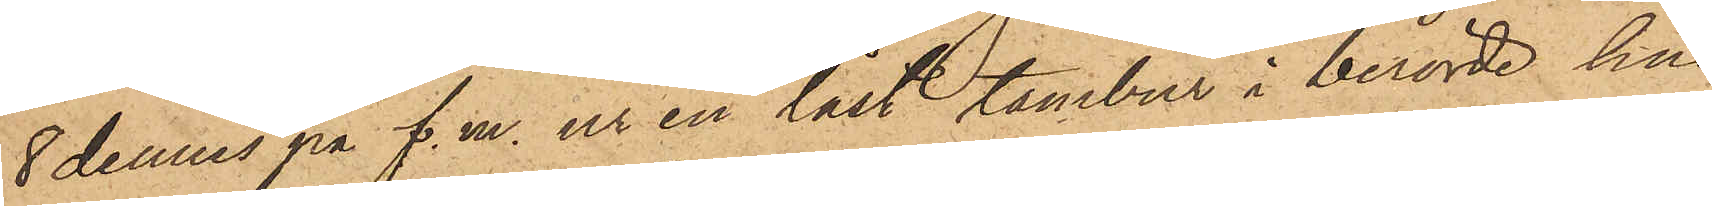8 dennes på f. m. ur en låst tambur i berörde hus
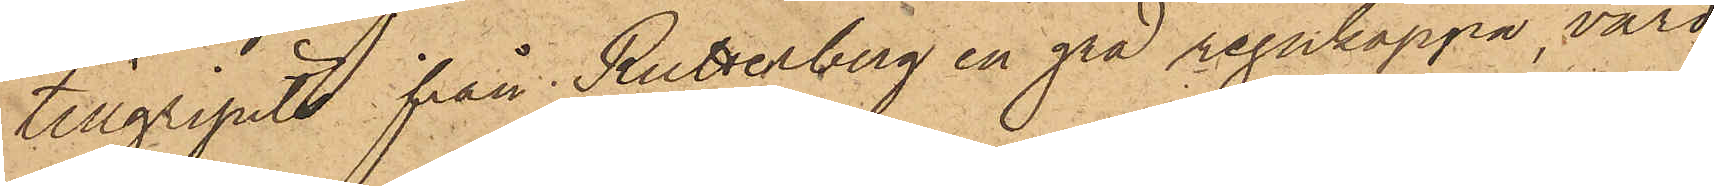tillgripits från Rutterberg en grå regnkappa, värd
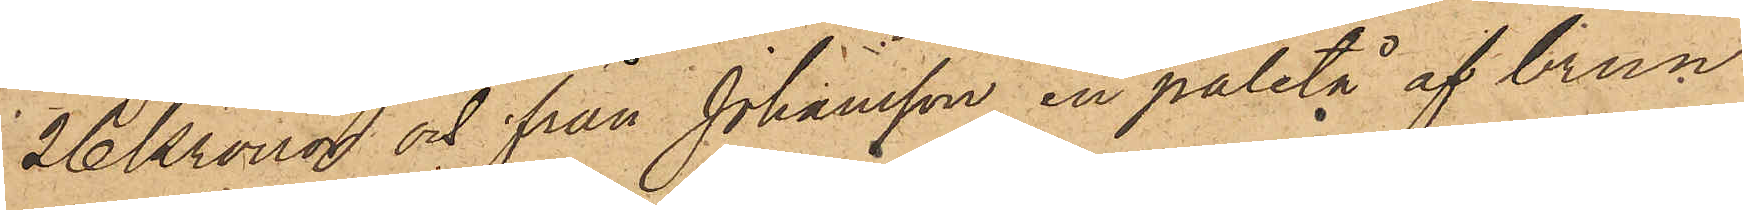26 Kronor och från Johansson en paletå af brun
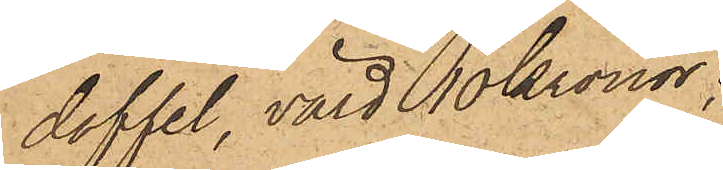doffel, värd 10 Kronor;
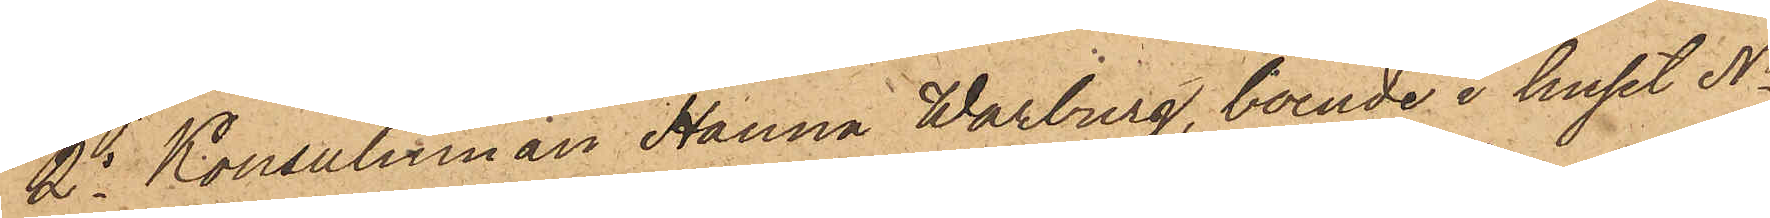2o Konsulinnan Hanna Warburg, boende i huset No
